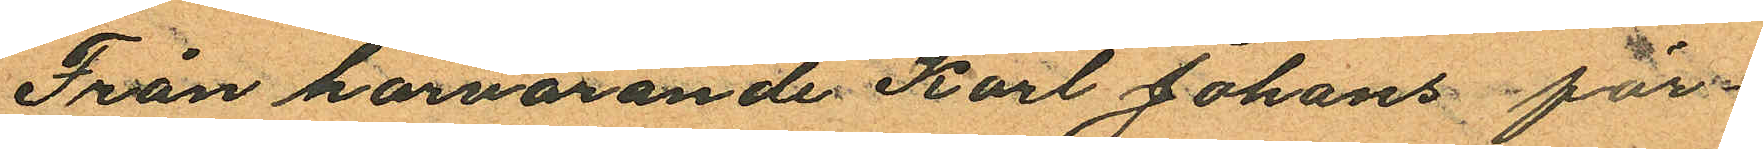Från härvarande Karl Johans för¬
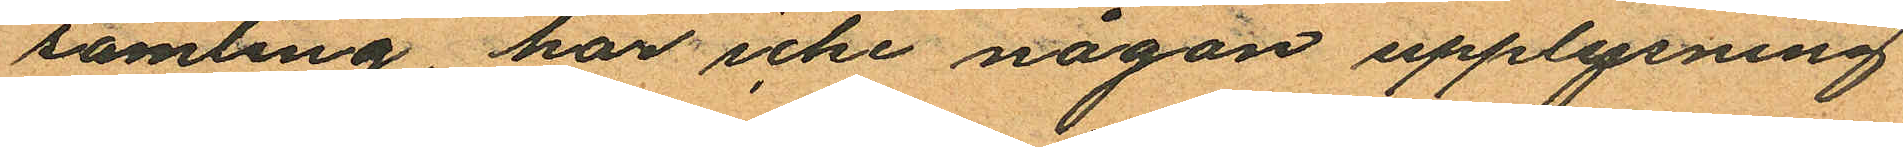samling, har icke någon upplysning
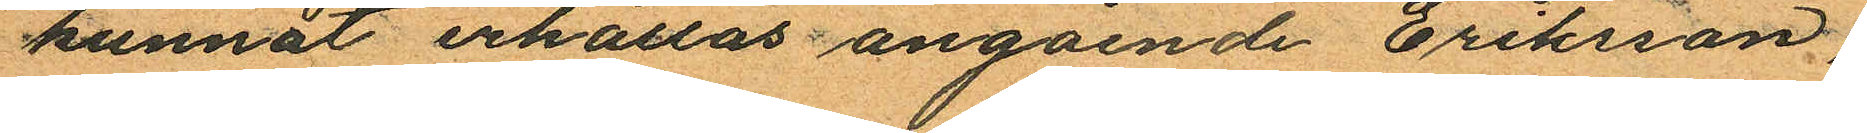kunnat erhållas angående Eriksson,
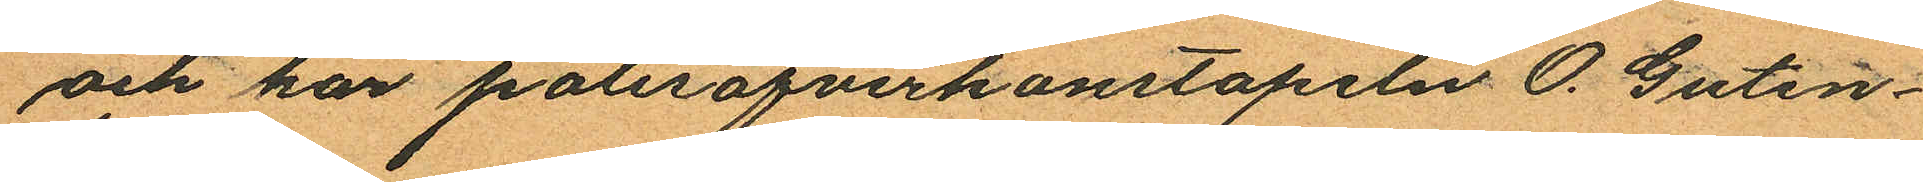och har polisöfverkonstapeln O. Guten¬
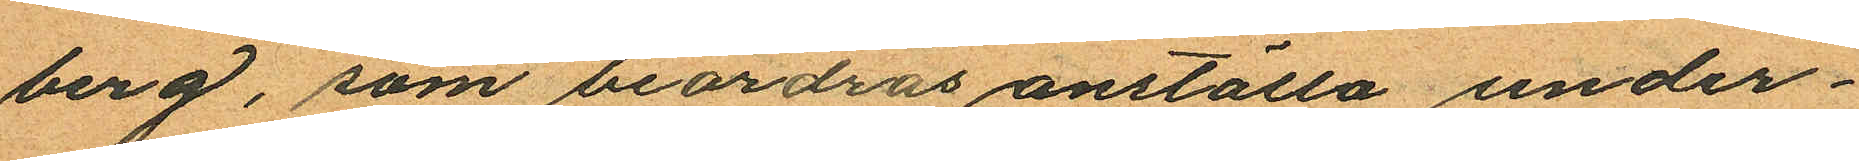berg, som beordras anställa under¬
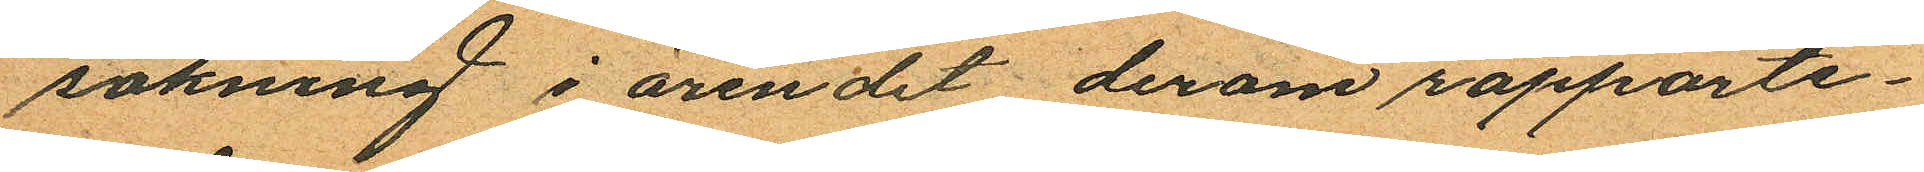sökning i ärendet derom rapporte¬
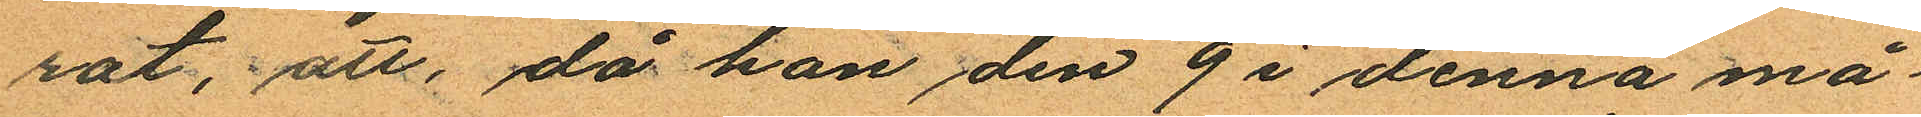rat, att, då han den 9 i denna må¬
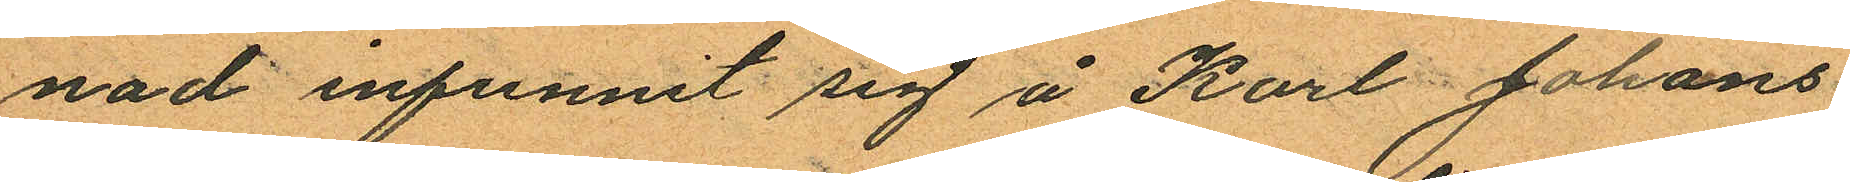nad infunnit sig å Karl Johans
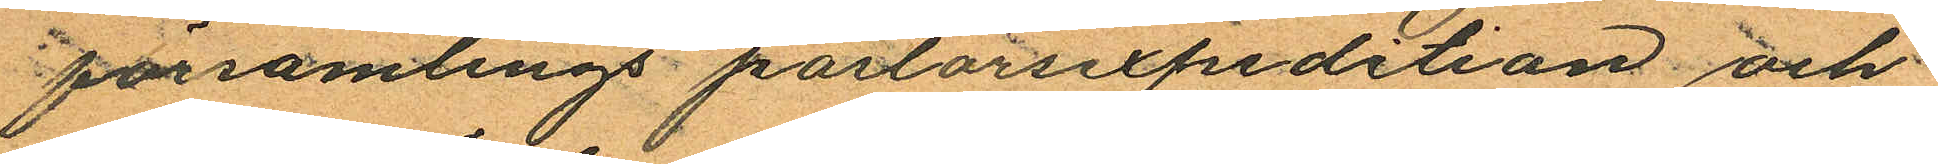församlings pastorsexpedition och
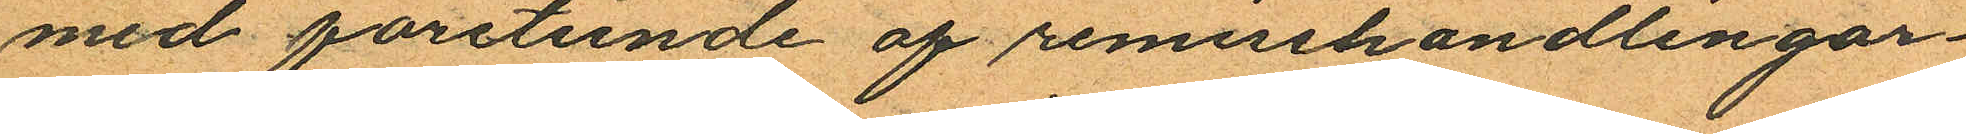med företeende af remisshandlingar¬
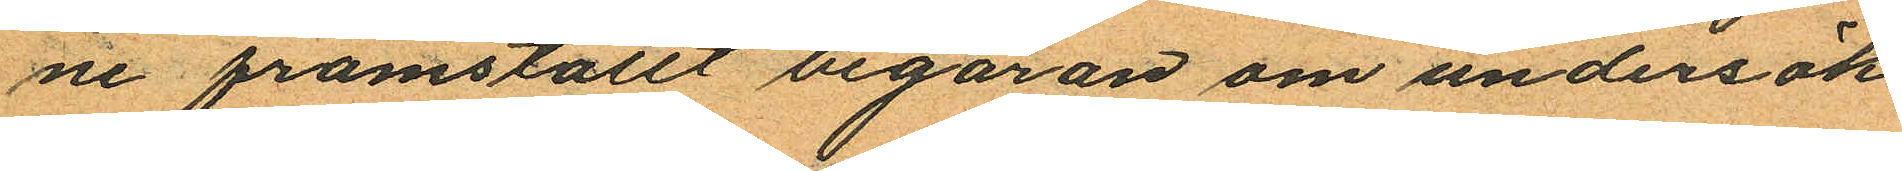ne framställt begäran om undersök¬
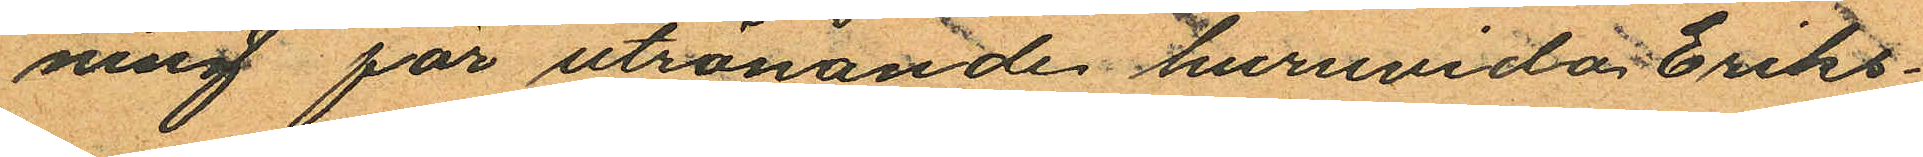ning för utrönande huruvida Eriks¬
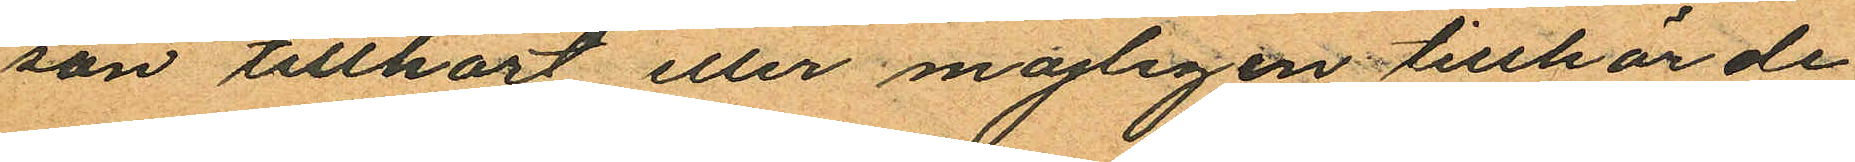son tillhört eller mojligen tillhörde
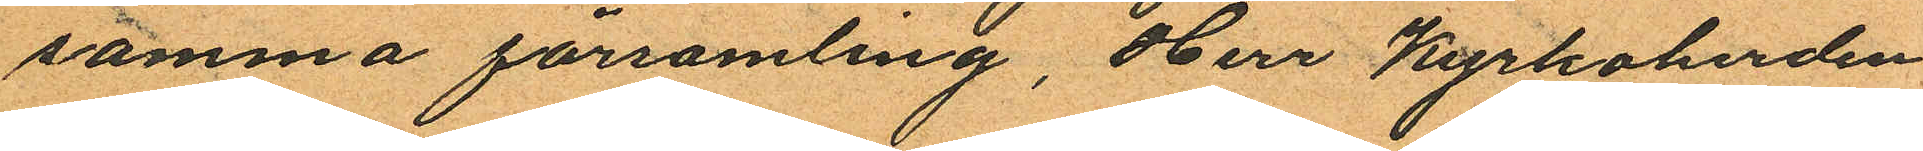samma församling, Herr Kyrkoherden
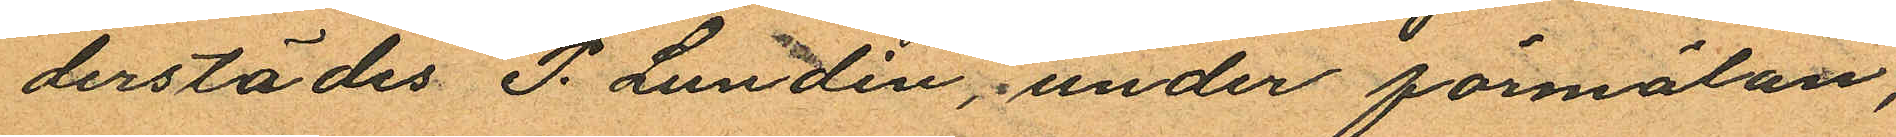derstädes P. Lundin, under förmälan,
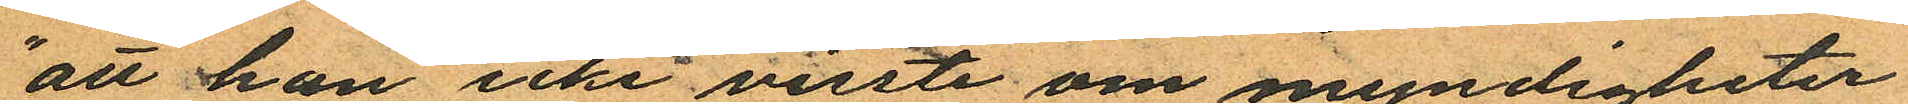"att han icke viste om myndigheter
